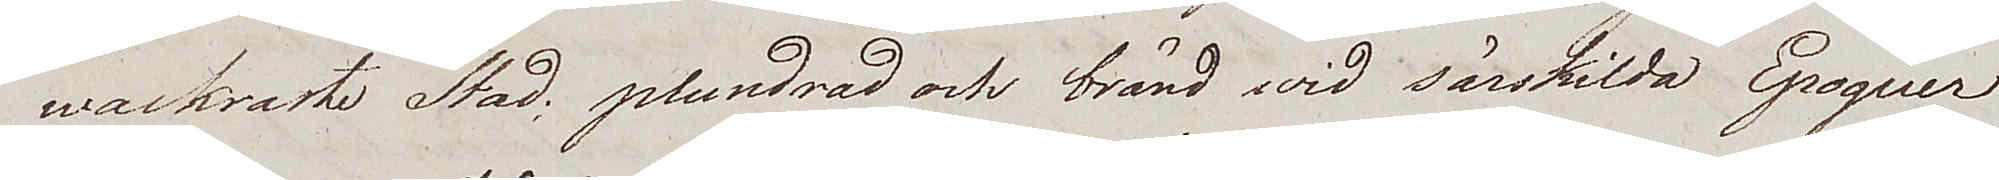wackraste Stad; plundrad och bränd wid särskilda Epoquer
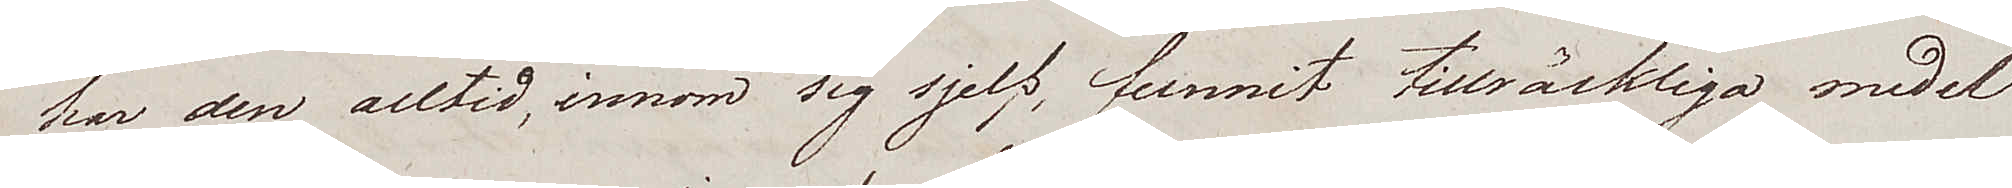har den alltid, innom sig sjelf, funnit tillräckliga medel
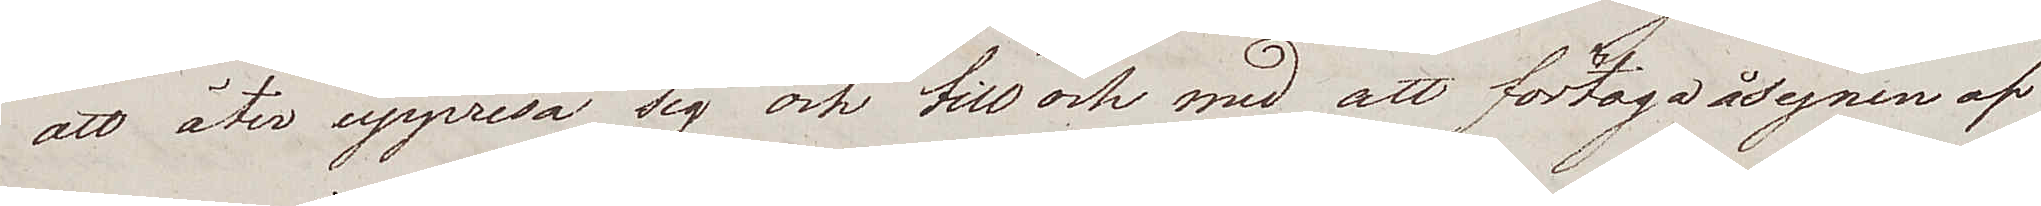att åter uppresa sig och till och med att företaga åsynen af
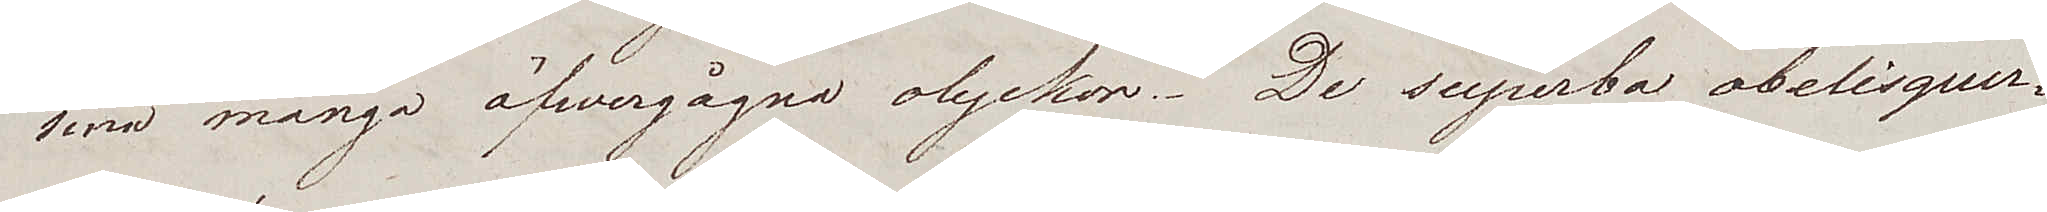sina många öfwergågna olyckor. De superba obelisquer¬
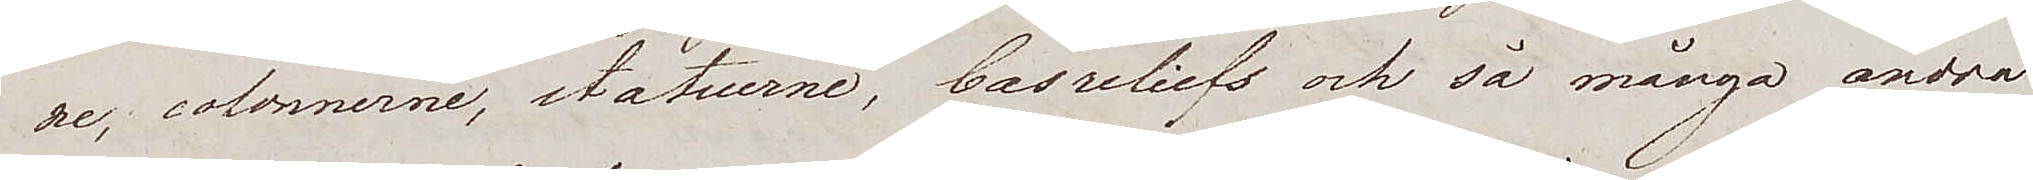ne, colonnerne, statuerne, basreliefs och så många andra
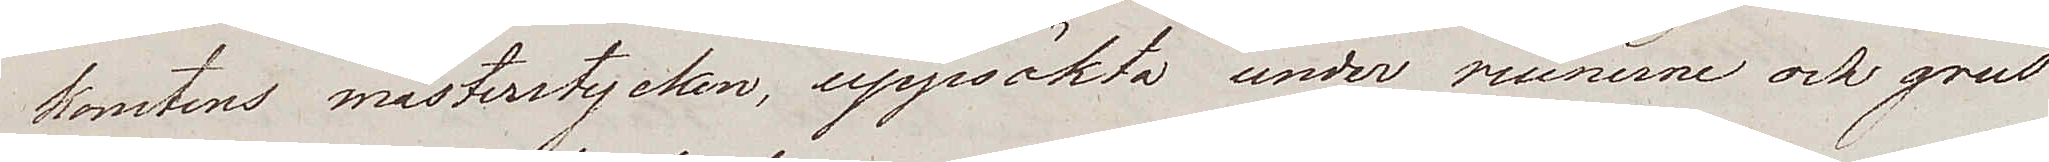konstens mästerstycken, uppsökta under ruinerne och grus¬
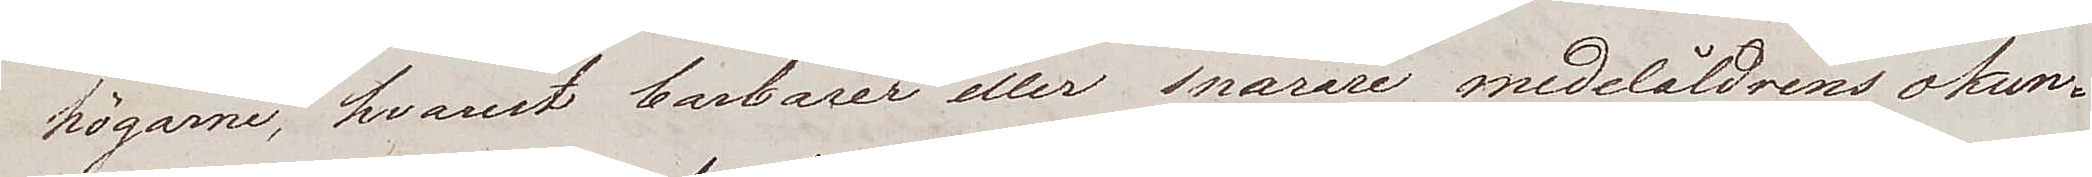högarne, hvarest barbarer eller snarare medeltidens okun¬
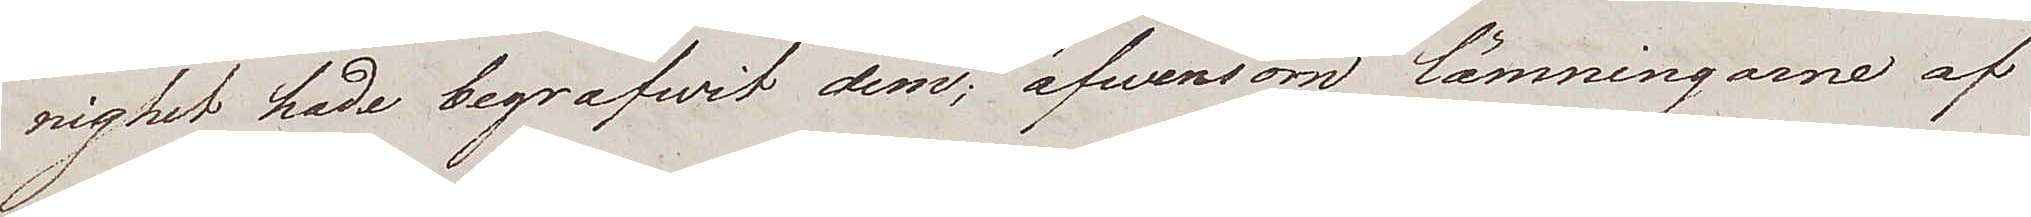nighet hade begrafwit dem; äfwensom lämningarne af
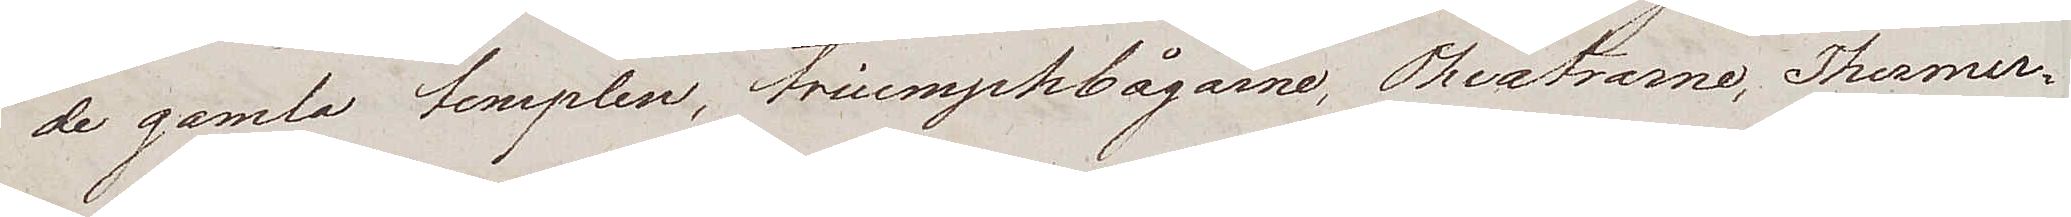de gamla templen, triumpkbågarne, Theatrarne, Thermer¬
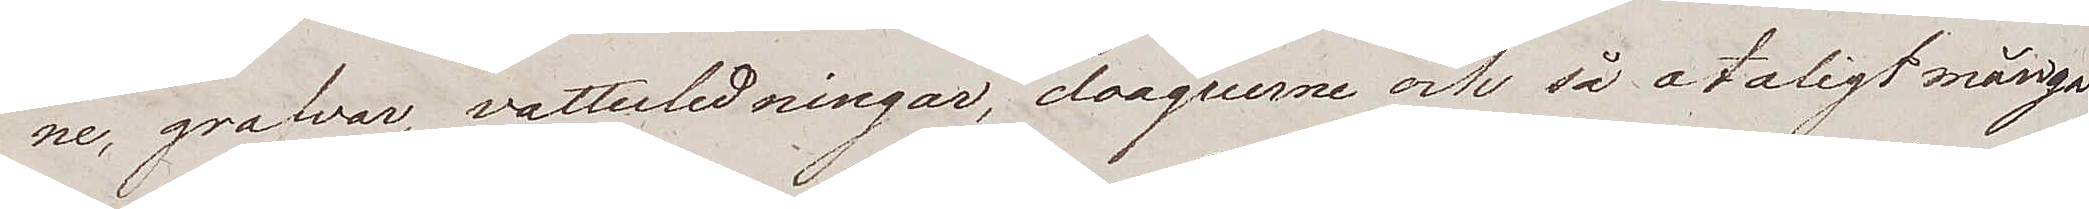ne, grafvar, vattenledningar, cloaquerne och så otaligt många
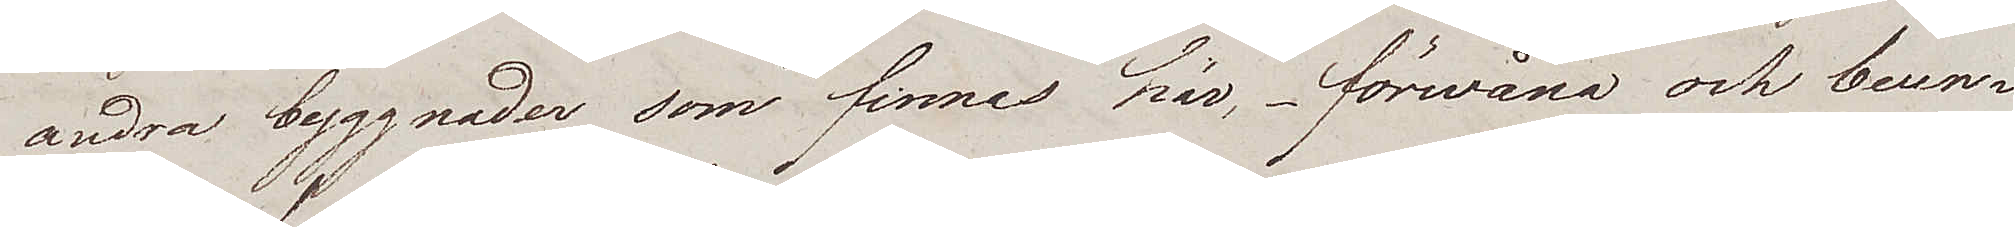andra byggnader som finnes här, förwåna och beun¬
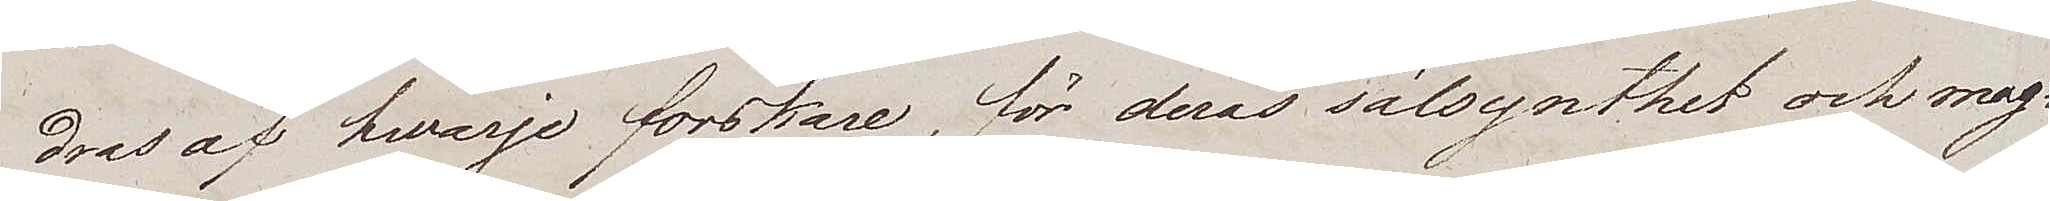dras af hvarje forskare, för deras sälsynthet och mag¬
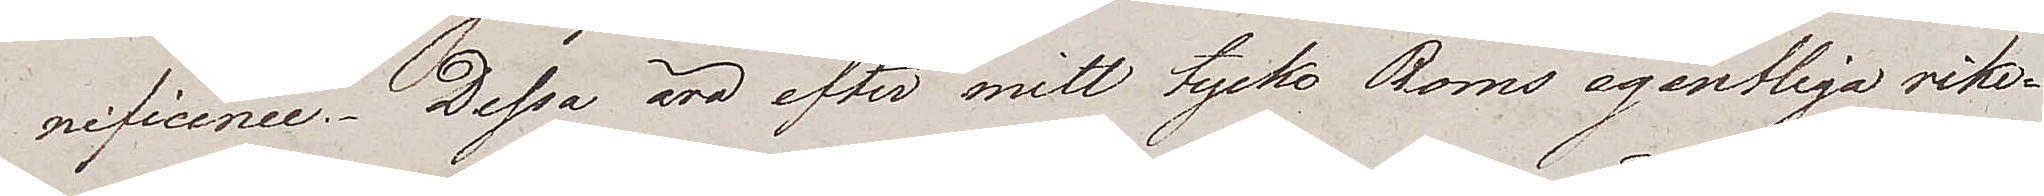nificence. Dessa äro efter mitt tycke Roms egentliga rike¬
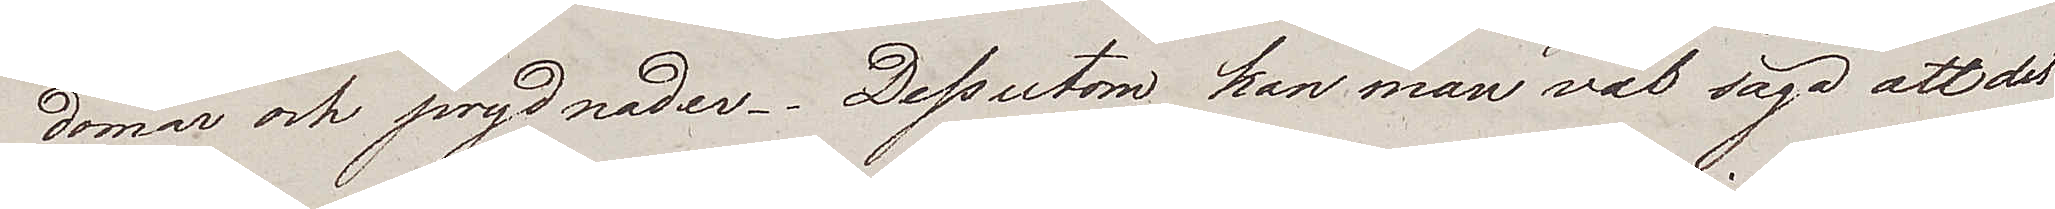domar och prydnader. Dessutom kan man väl säga att det
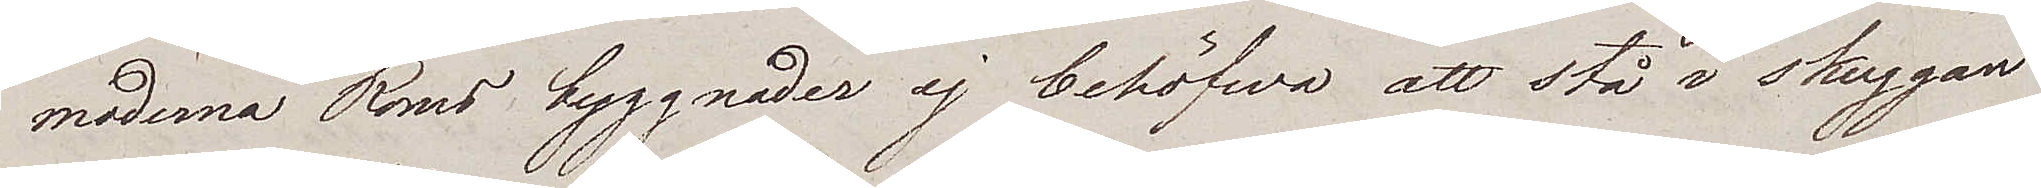moderna Roms byggnader ej behöfwa att stå i skuggan
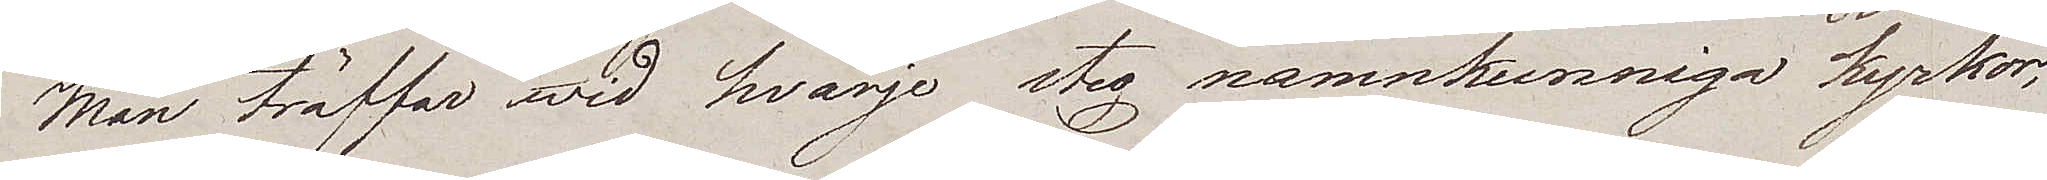Man träffar wid hvarje steg namnkunniga kyrkor;
